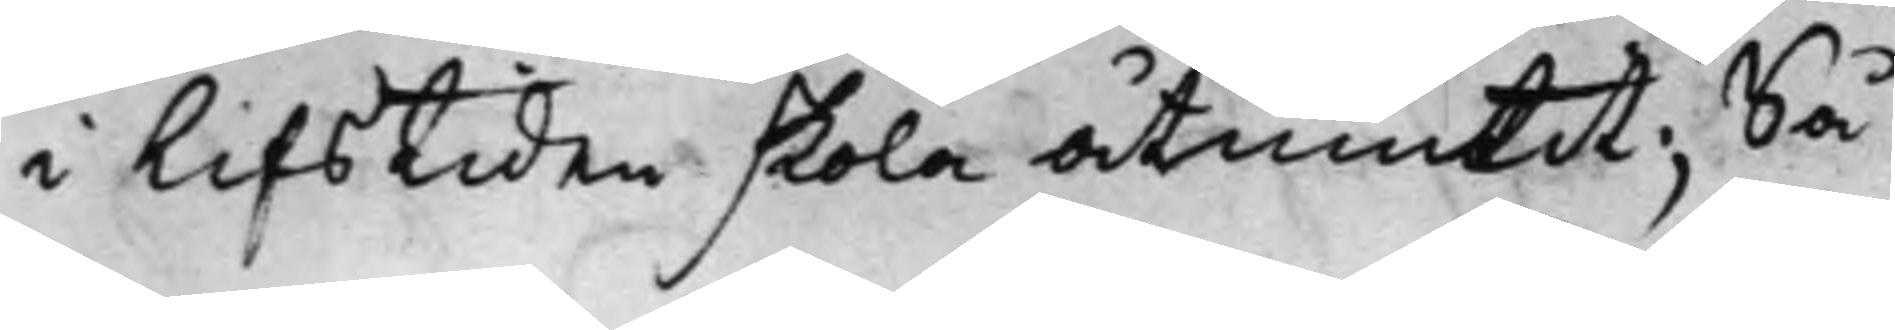i Lifstiden skola åtniutit; Så
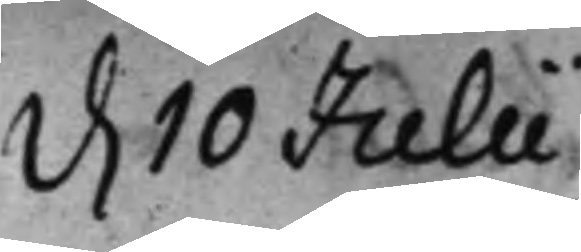d. 10 Julii
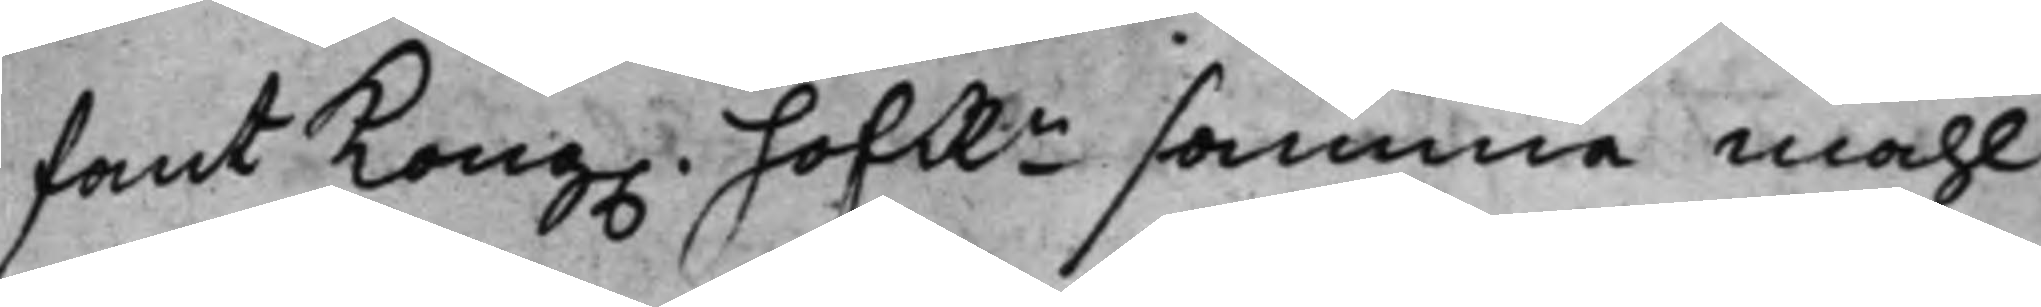fant Kong. hofRn samma måhl
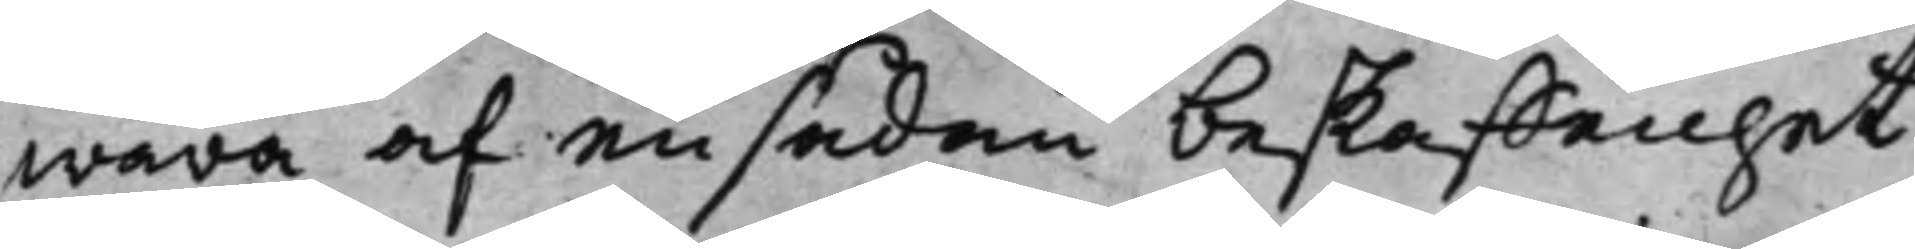wara af en sådan beskaffenhet
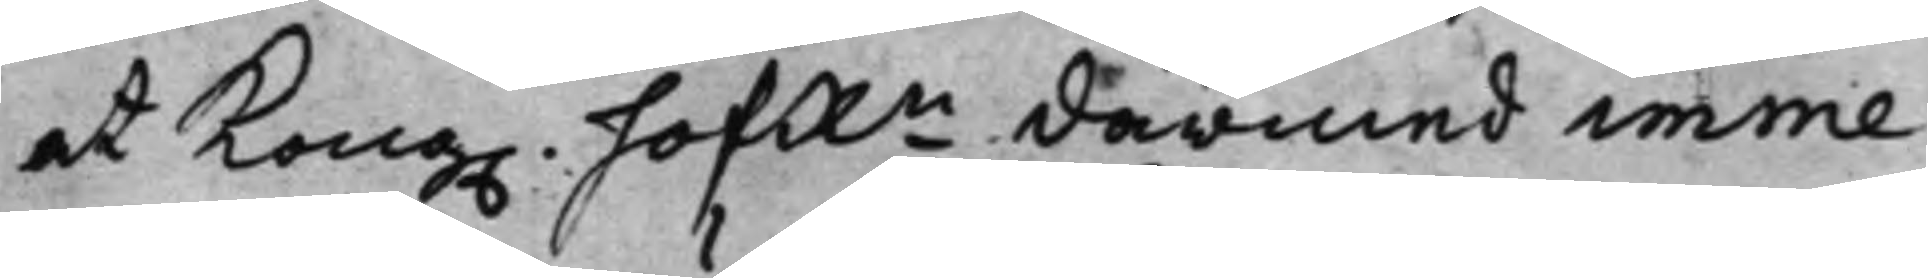at Kong. hofRn därmed imme¬
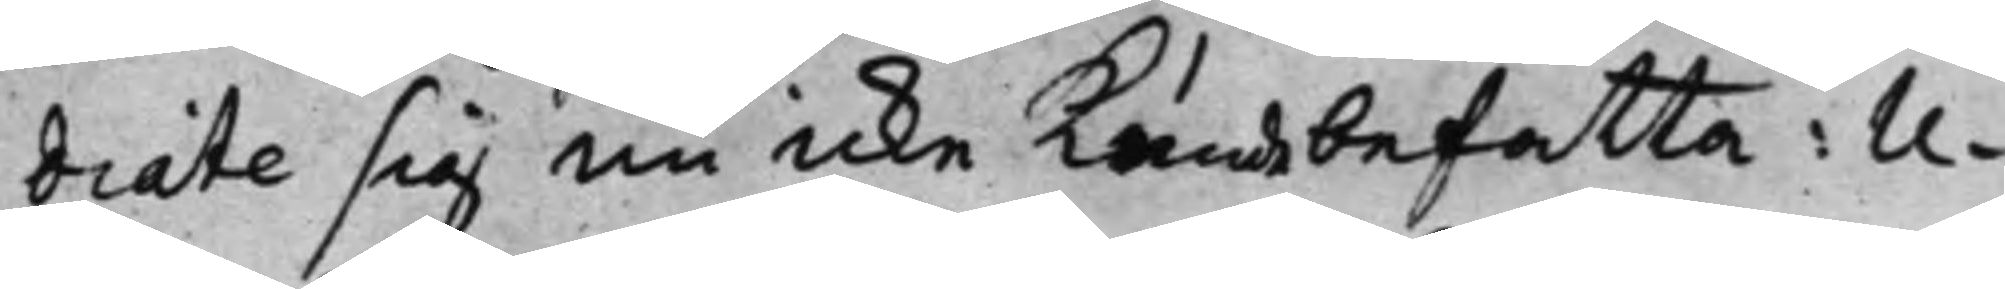diate sig nu icke kunde befatta: U¬
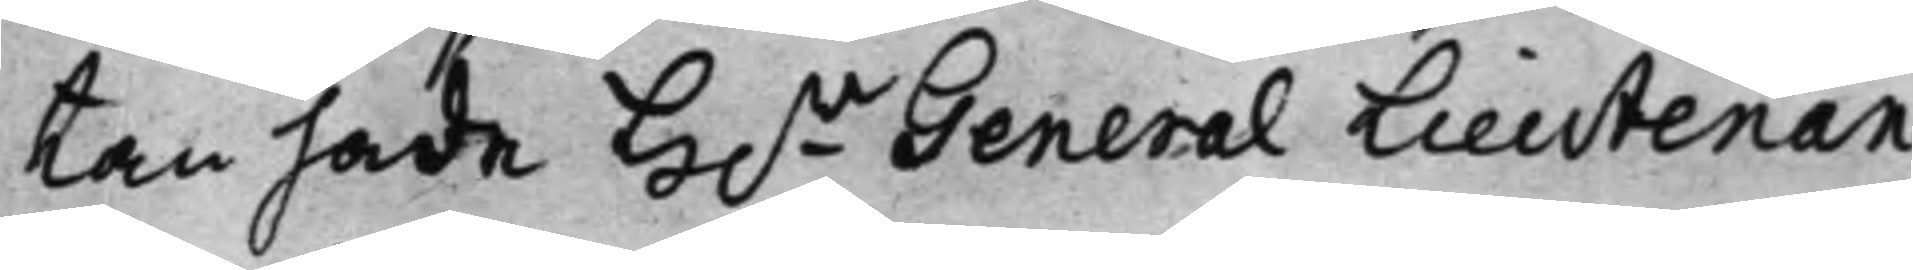tan hade H.r General Lieutenan¬
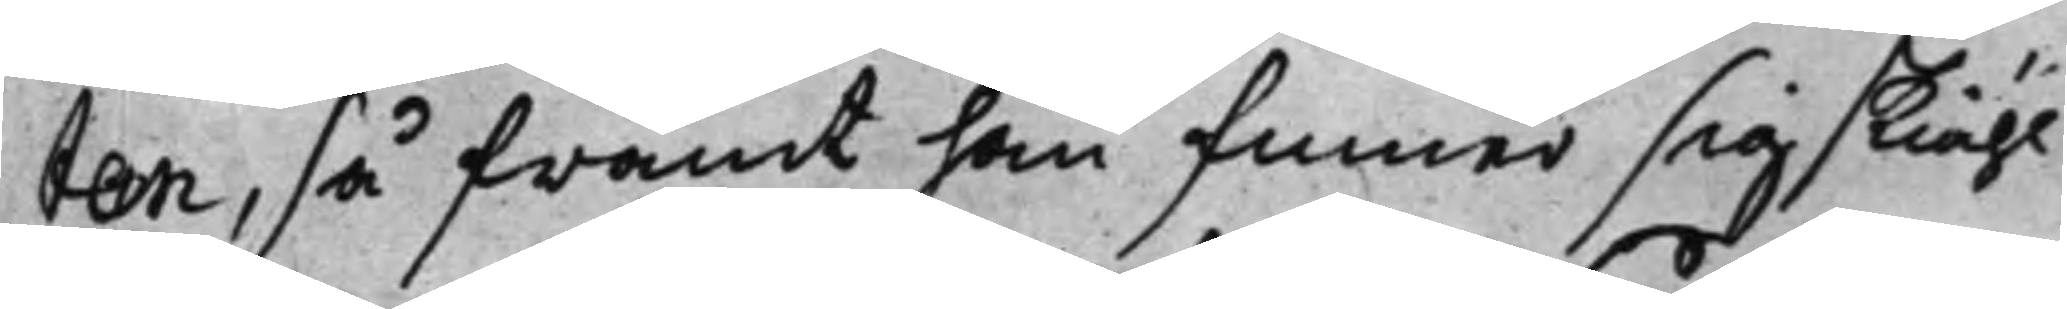ten, så framt han finner sig skiähl
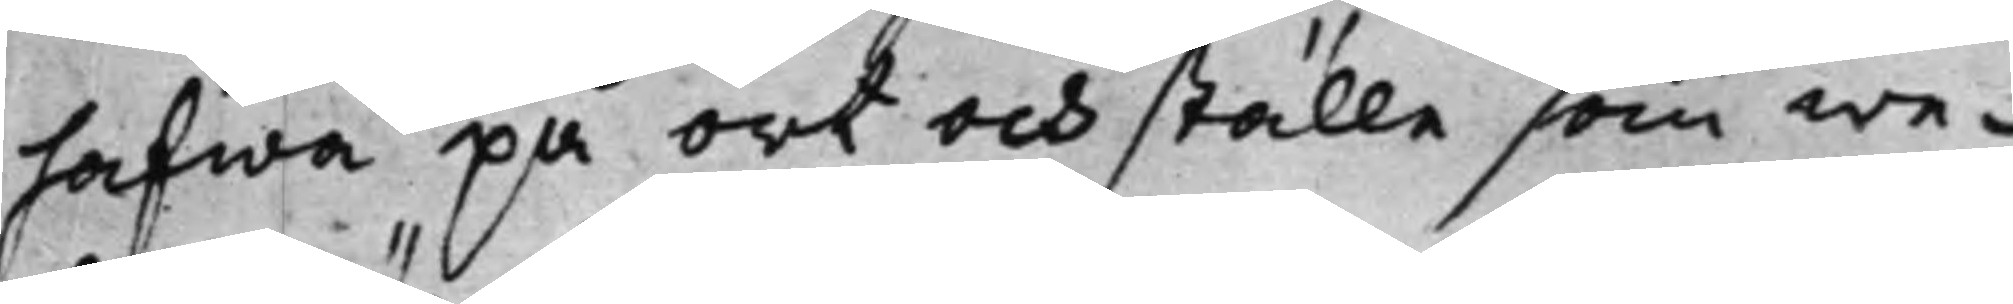hafwa på ort och ställe som we¬
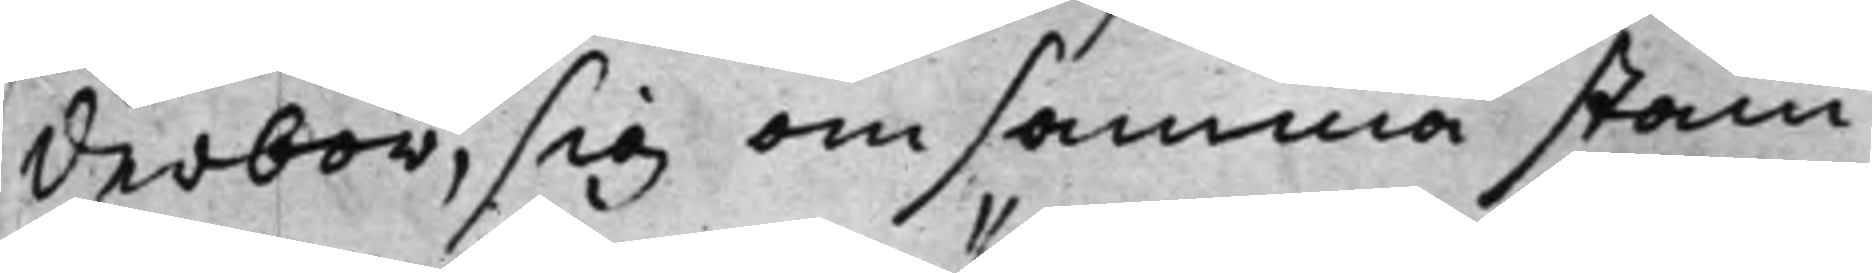derbör, sig om samma stäm¬
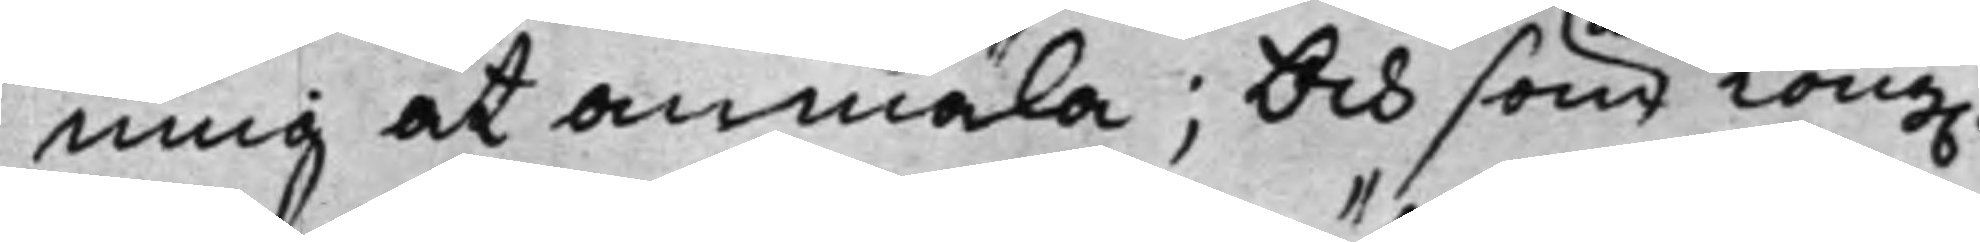ning at anmäla; Och som Kong.
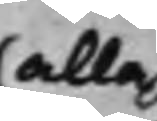alla
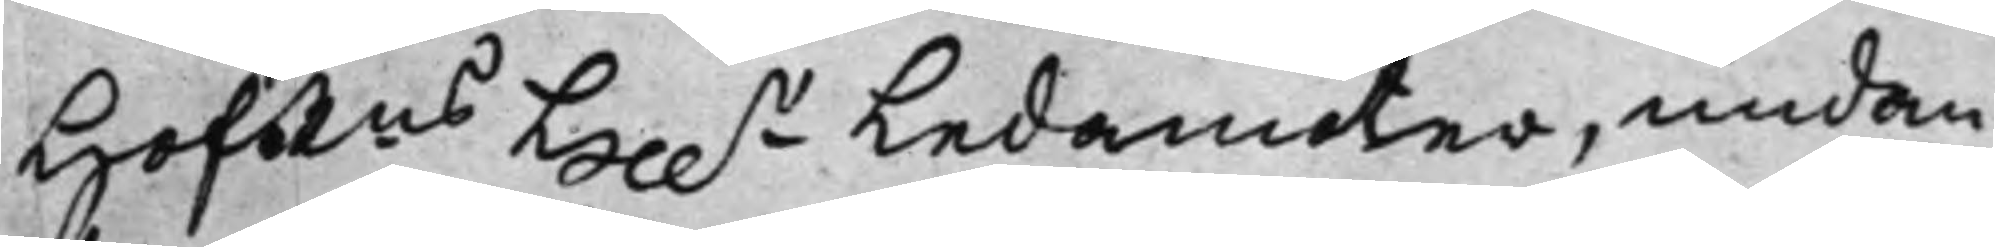HofRns Hr.r Ledamöter, undan¬
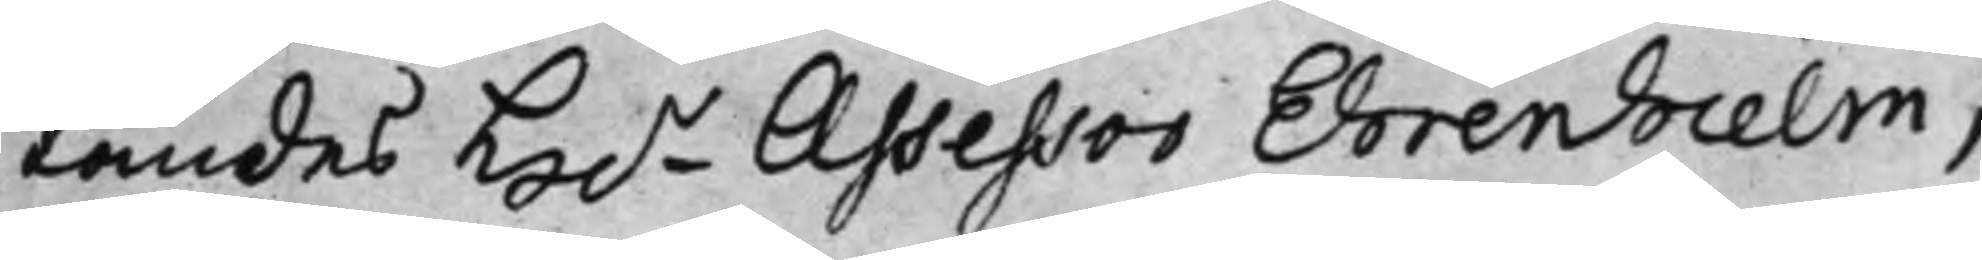tandes H.r Assessor Ehrenhielm,
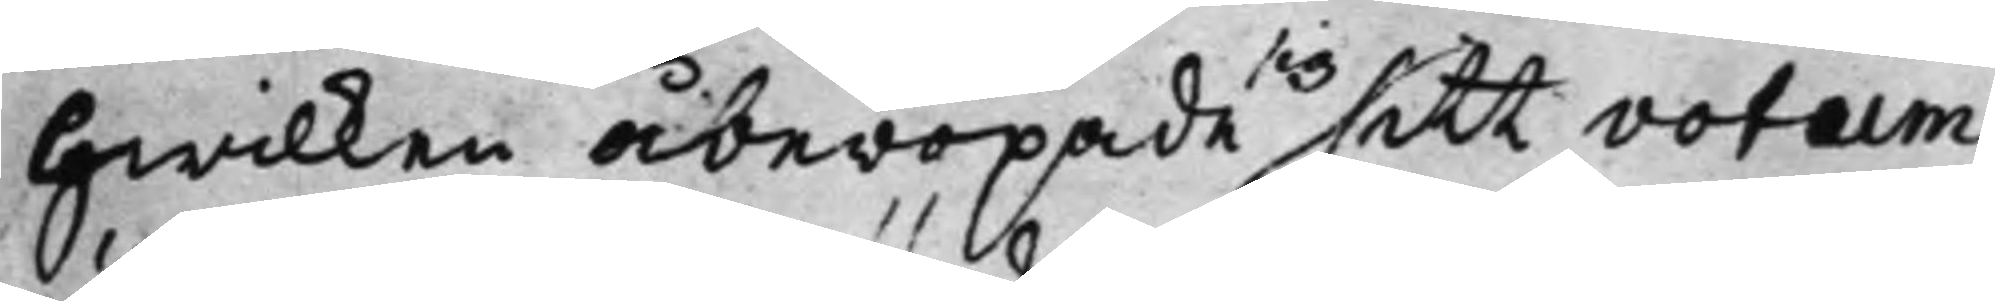hwilken åberopade sitt votum
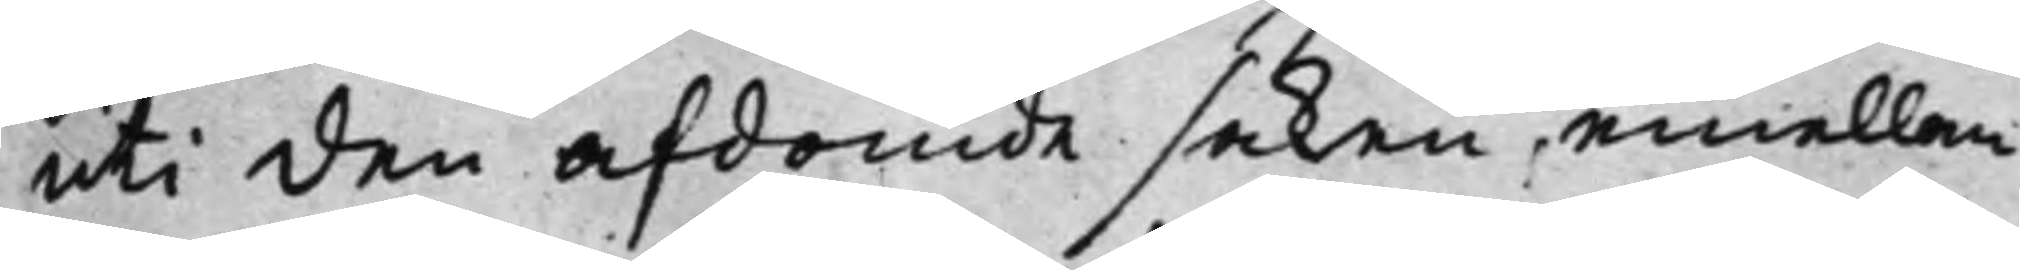uti den afdömde saken, emellan
